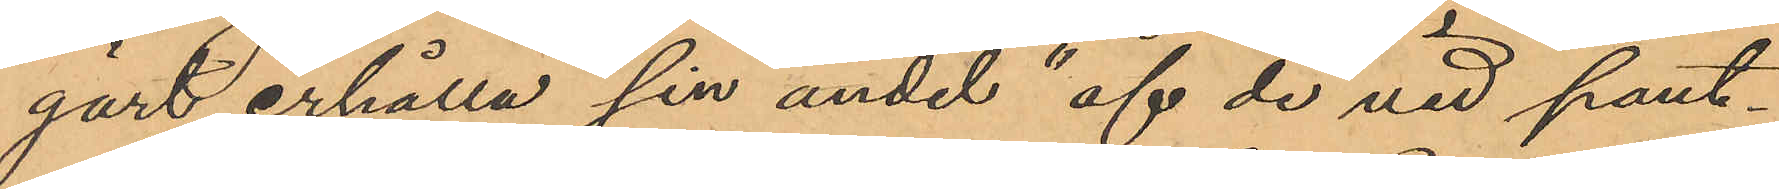gärt erhålla "sin andel " af de vid pant¬
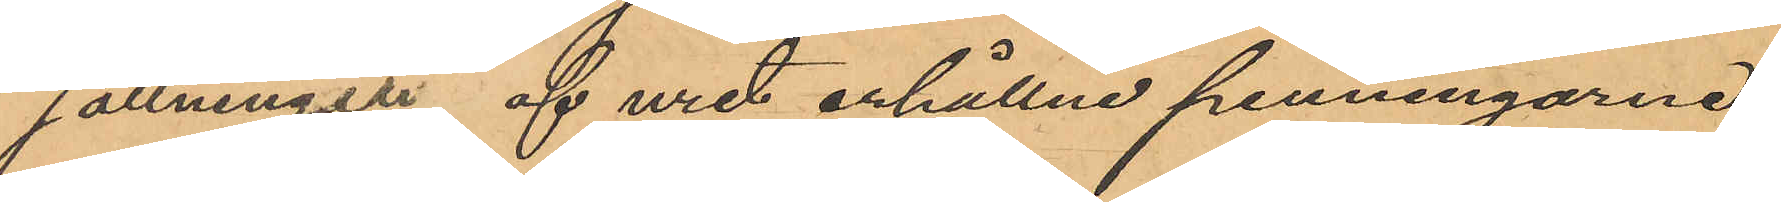sättninger af uret erhållne penningarne;
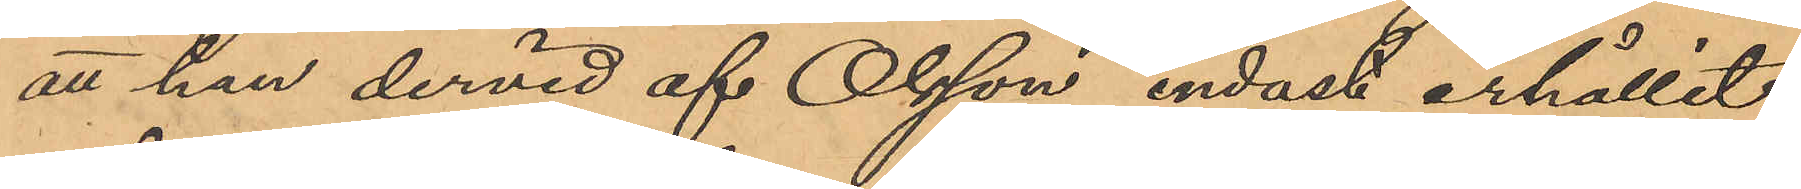att han dervid af Olsson endast erhållit
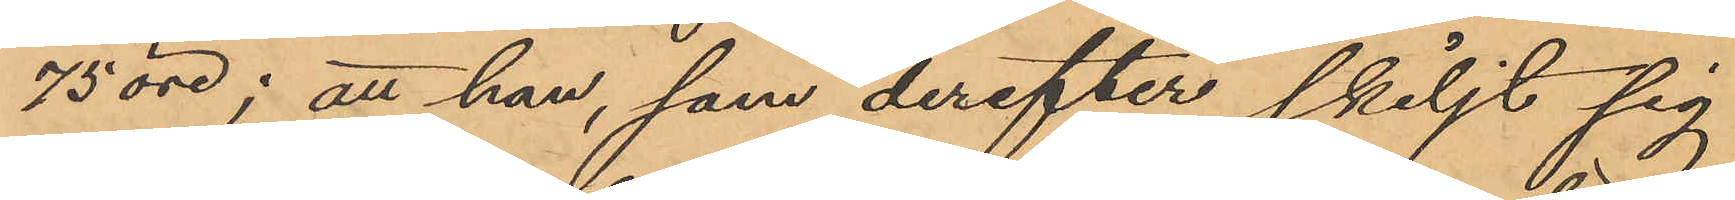75 öre; att han, som derefter skiljt sig
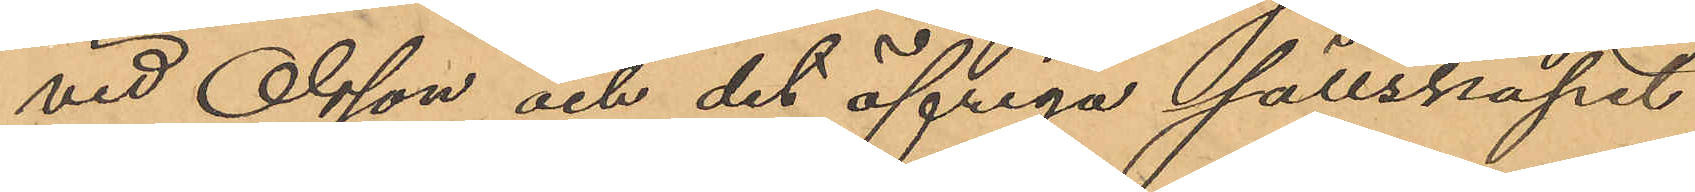vid Olsson och det öfriga sällskapet
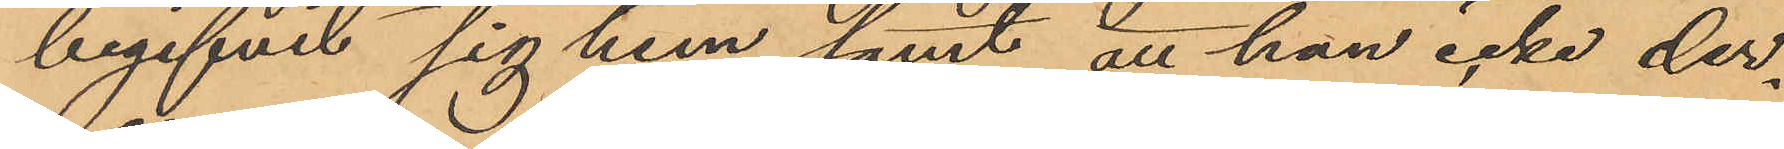begifvit sig hem samt att han icke der¬
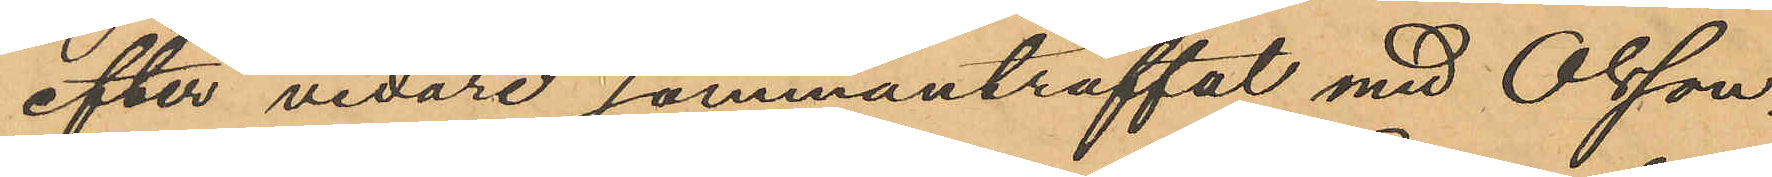efter vidare sammanträffat med Olsson.
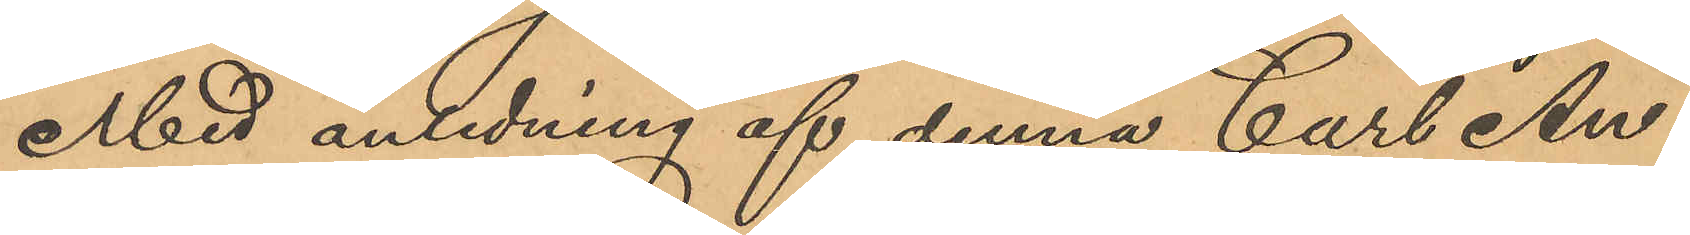Med anledning af denna Carl An¬
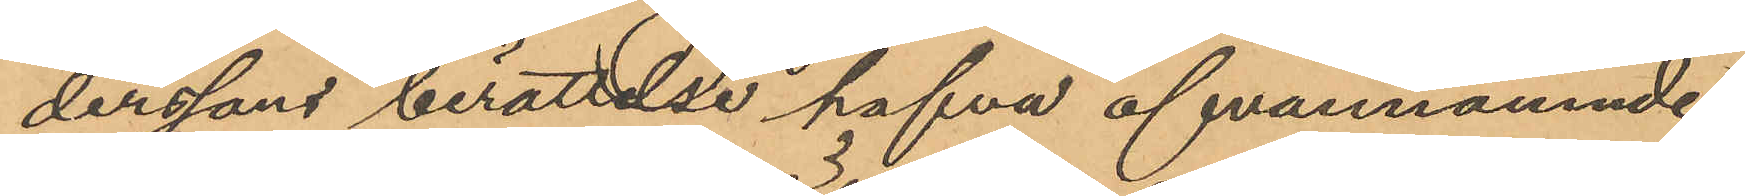derssons berättelse hafva ofvannämnde
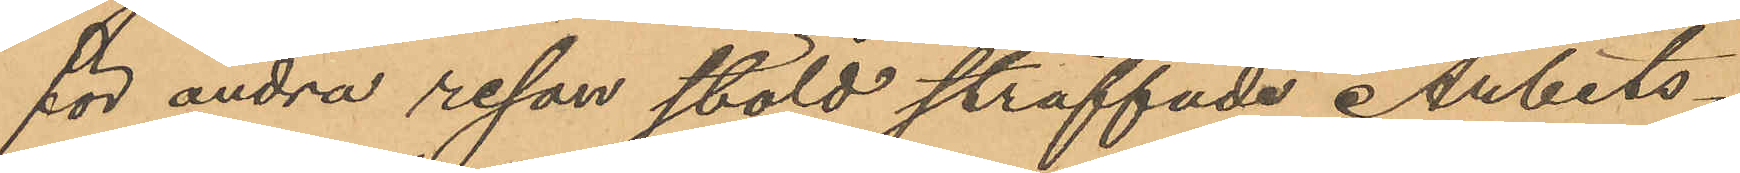för andra resan stöld straffade Arbets¬
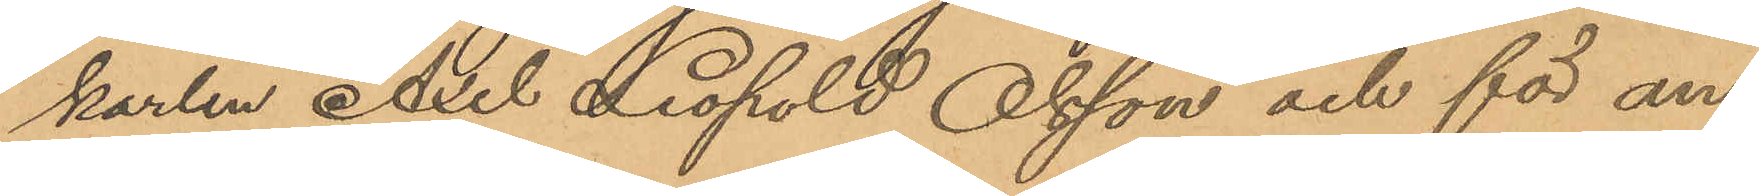karlen Axel Leopold Olsson och för an¬
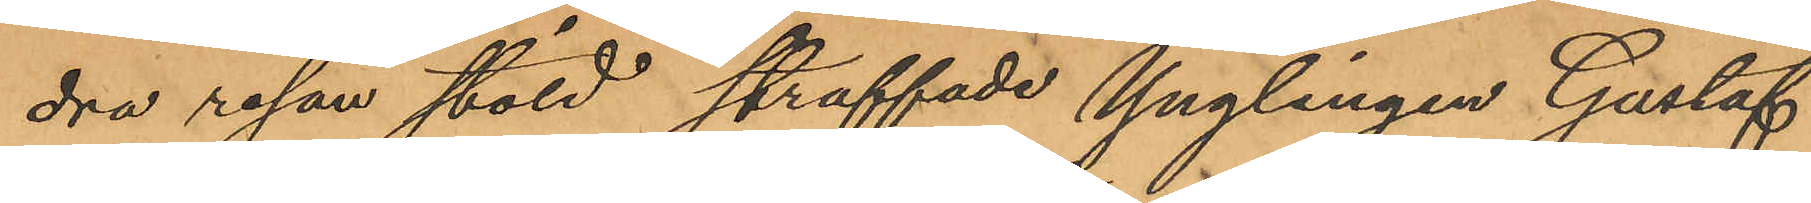dra resan stöld straffade Ynglingen Gustaf
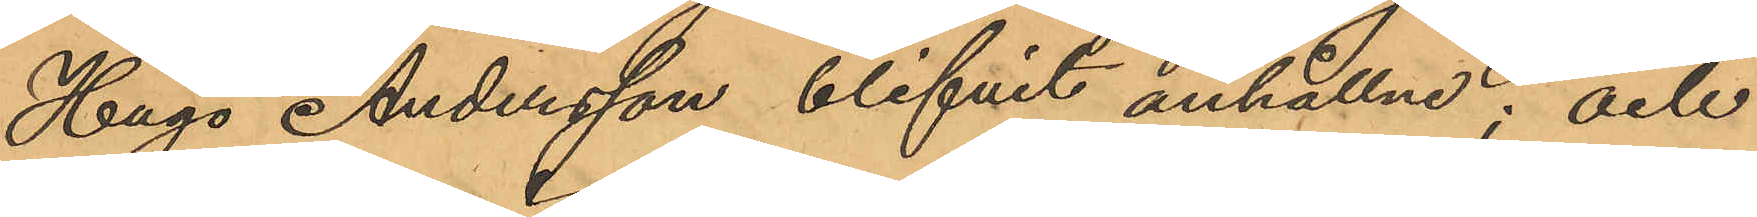Hugo Andersson blifvit anhållne; och
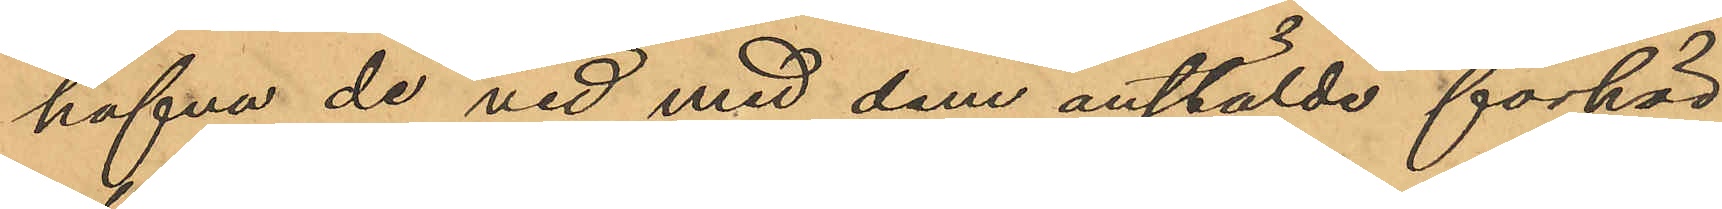hafva de vid med dem anstälde förhör
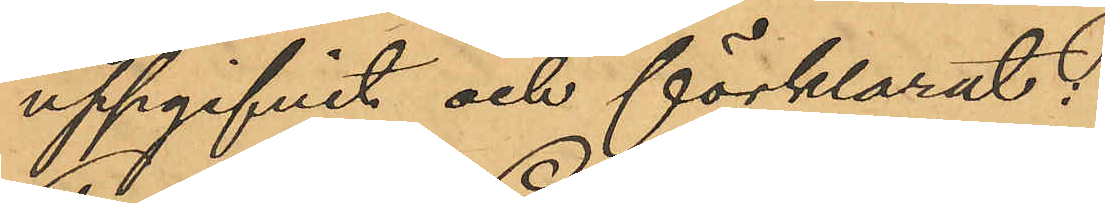uppgifvit och förklarat:
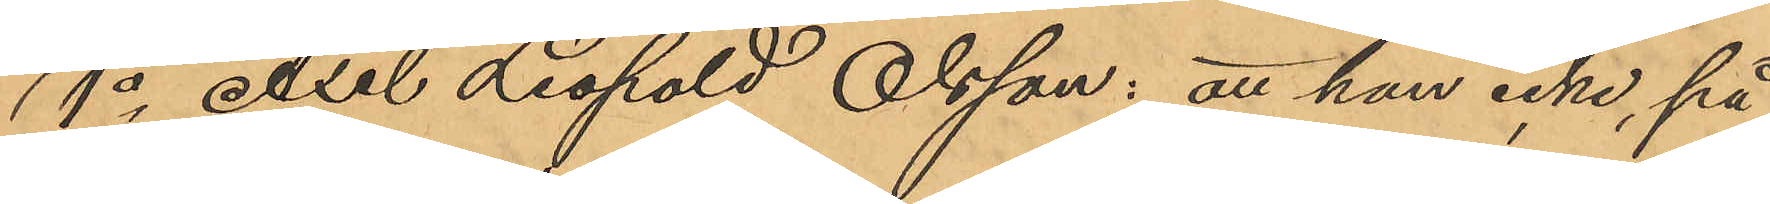1o Axel Leopold Olsson: att han icke, på
